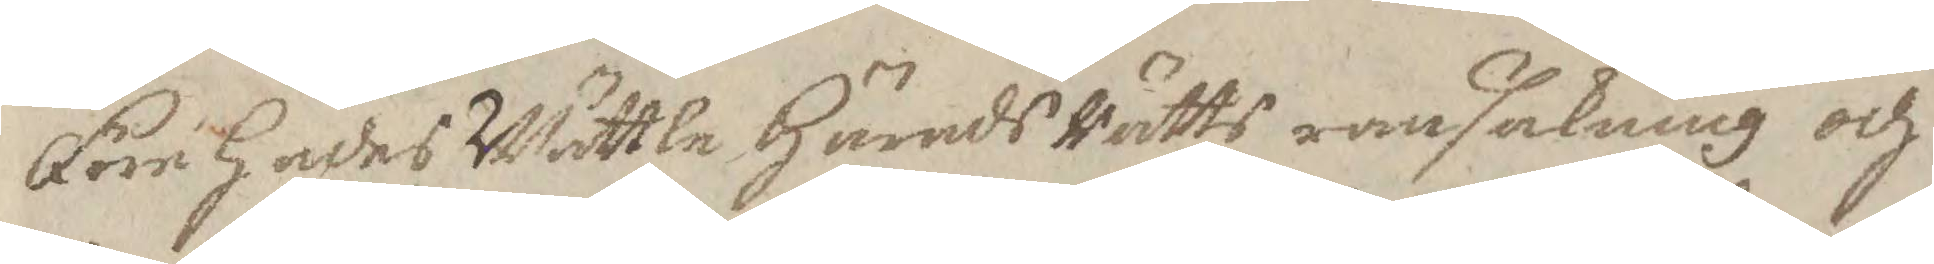Före hades Wättle HäradsRätts ransakning och
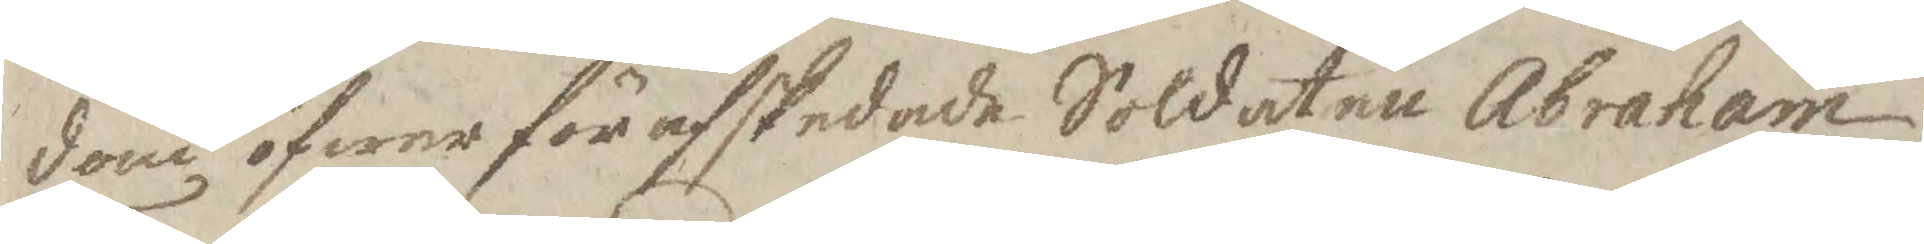dom öfwer förafskedade Soldaten Abraham
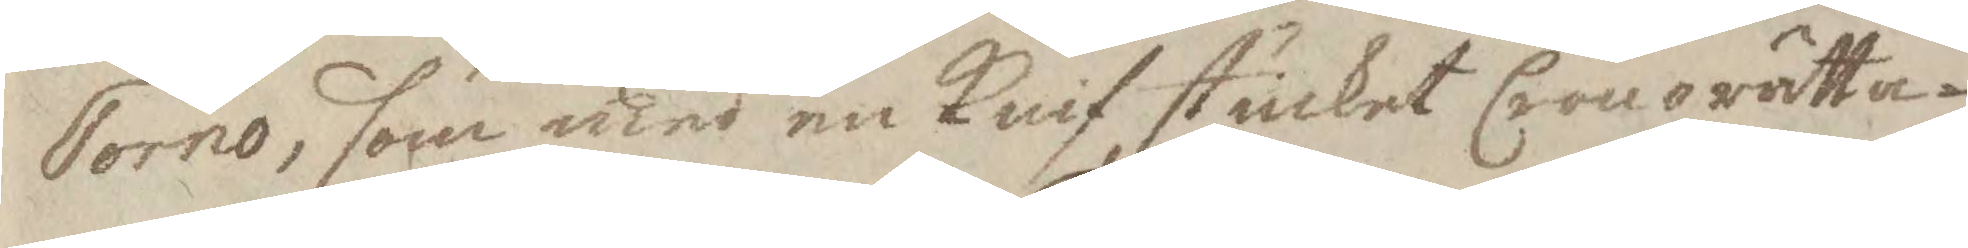Torno, som med en Knif stuckit Cronorätta¬
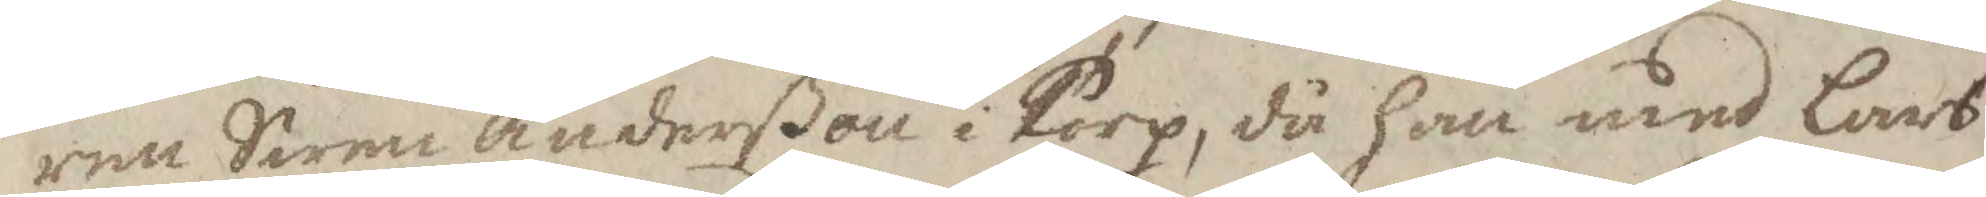ren Swen andersßon i Torp, då han med Lars
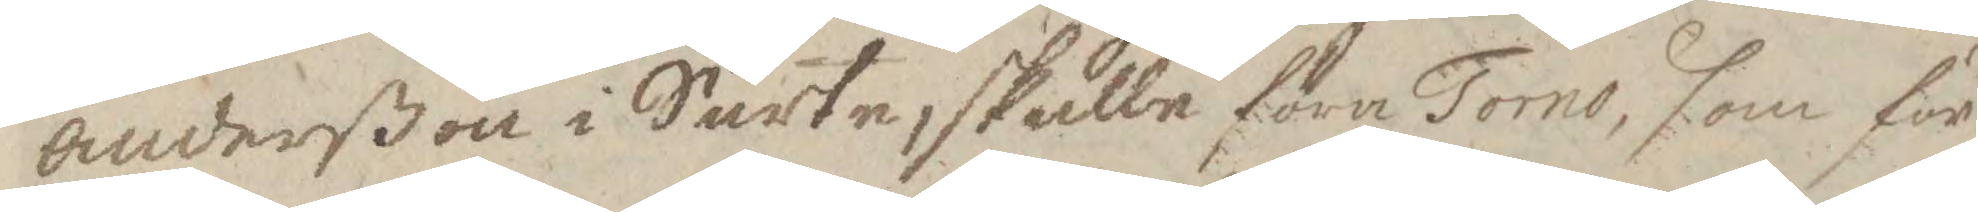andersßon i Surte, skulle föra Torno, som för
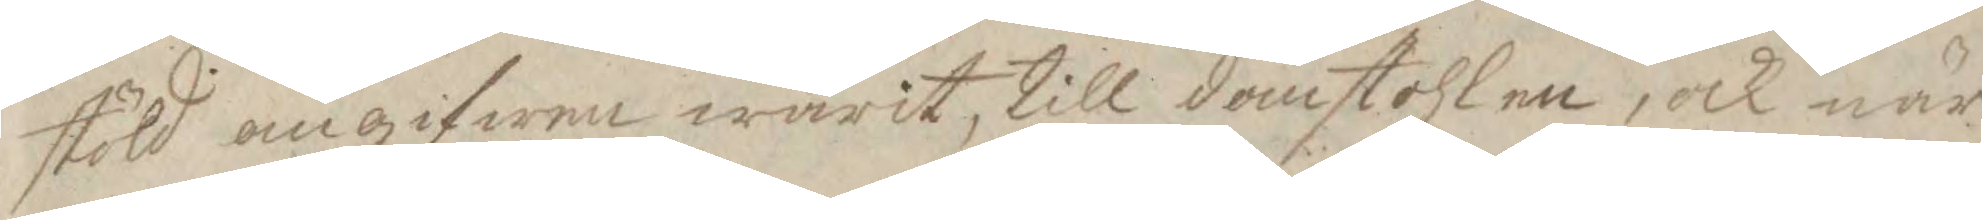stöld angifwen warit, till domstohlen, och när
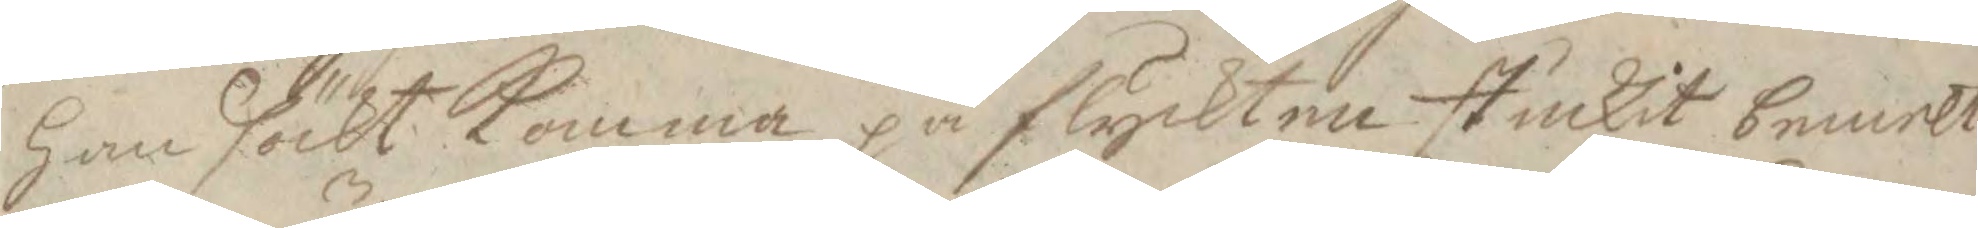han sökt Komma på flyckten stuckit bemelte
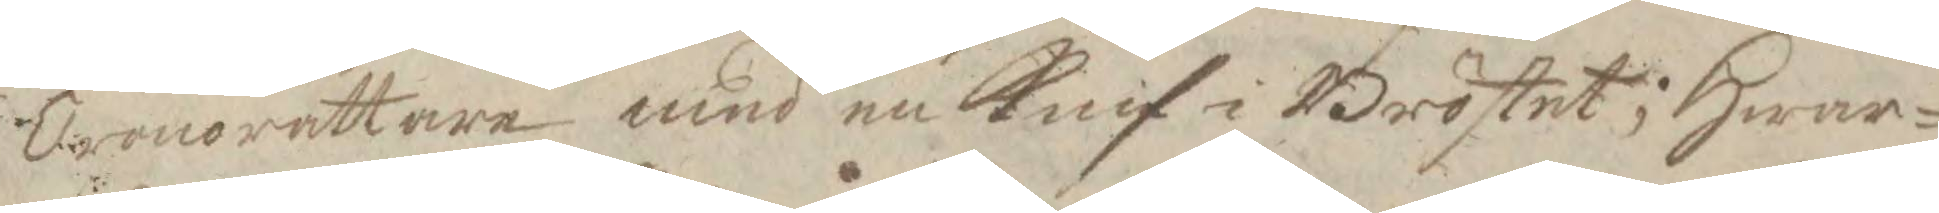Cronorättare med en Knif i Bröstet; Hwar¬
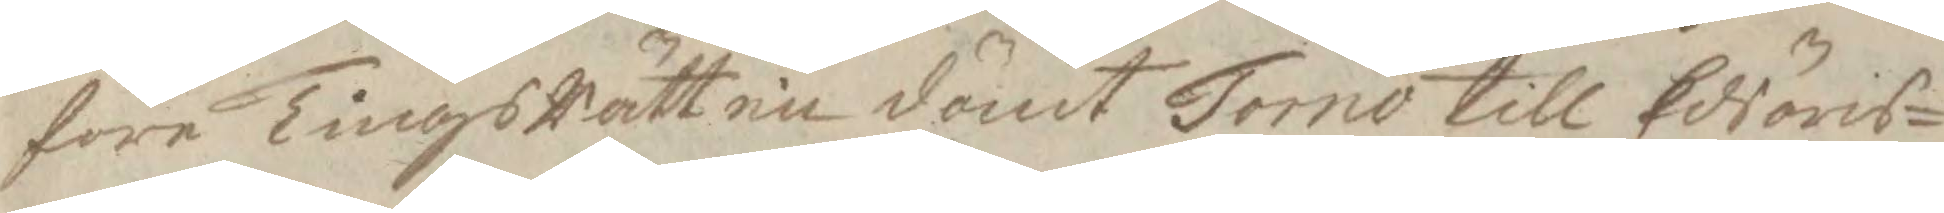före TingsRätten dömt Torno till Edsöres¬
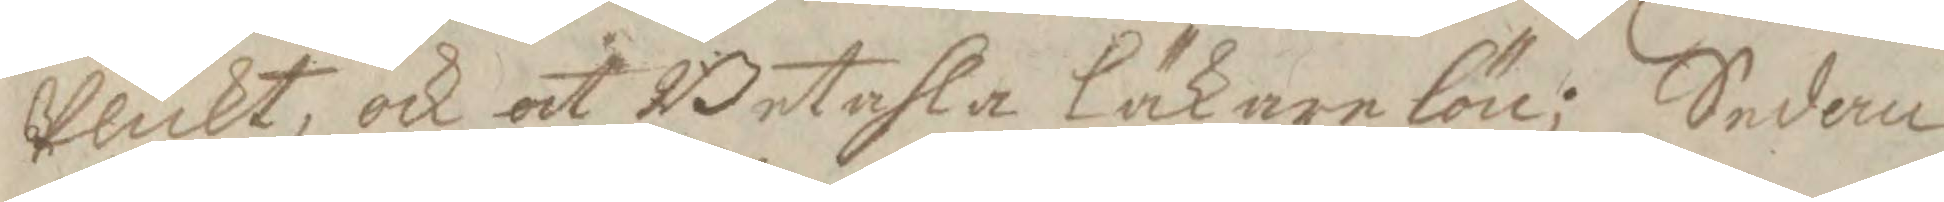plickt, och at Betala läkraelön. Sedan
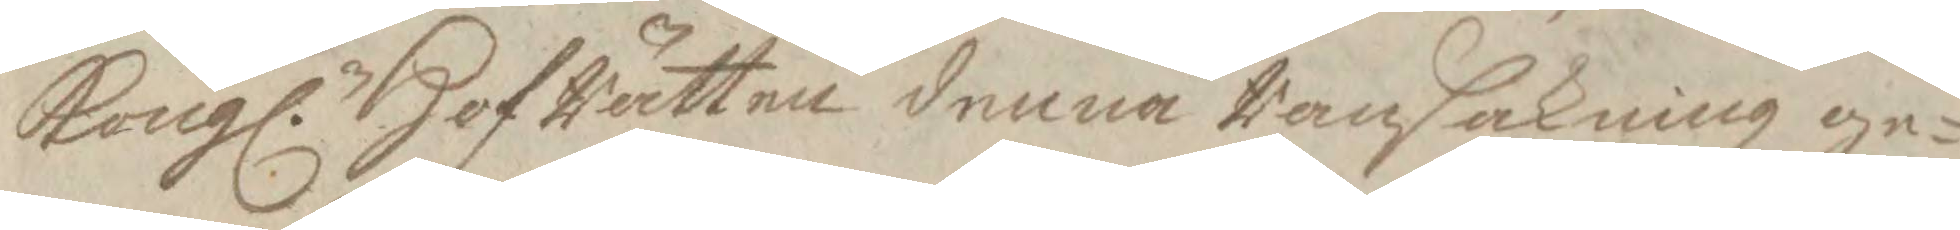Kongl. HofRätten denna Ransakning ge¬
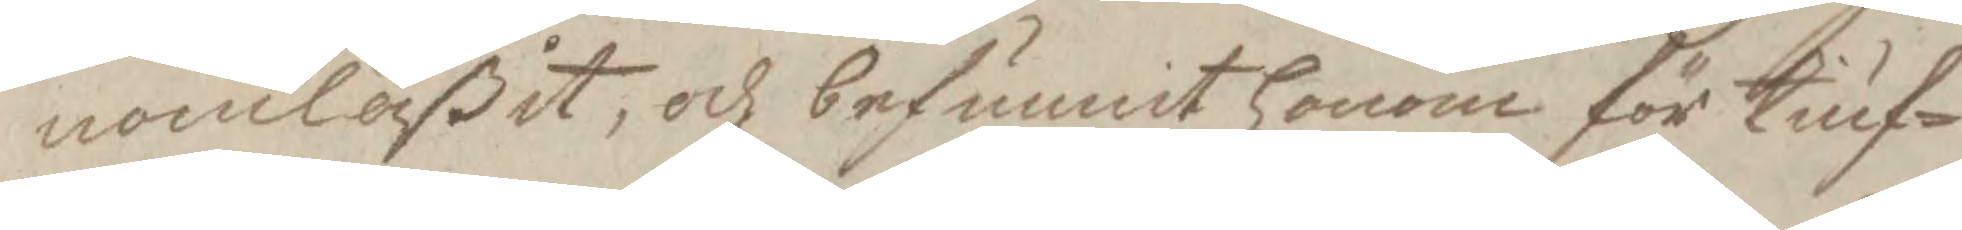nomläßit, och befunnit honom för tiuf¬
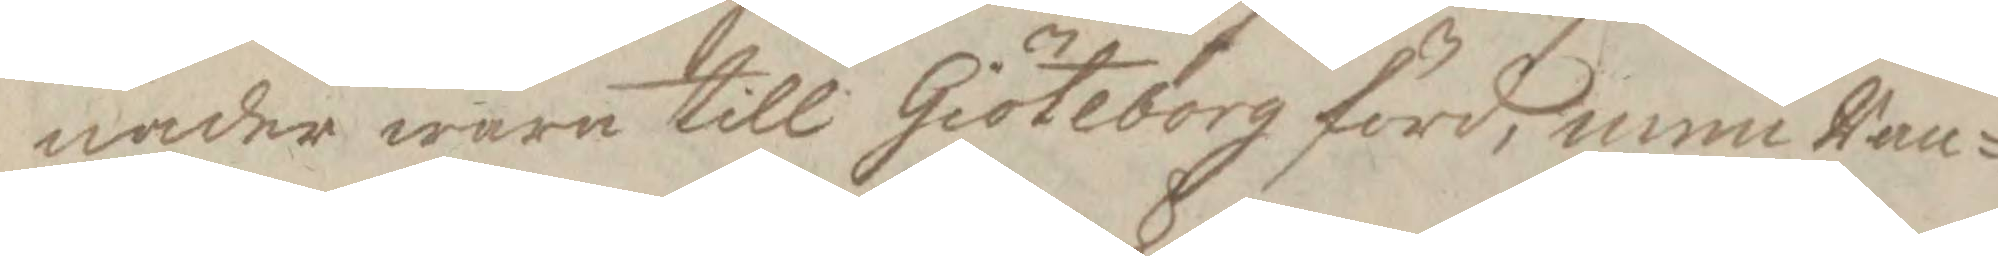nader wara till Giöteborg förd, men Ran¬
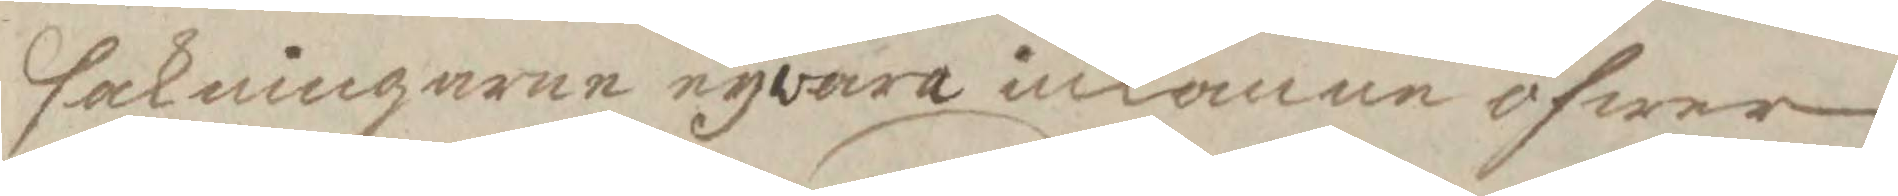sakningarna nyvara inkomna öfwer
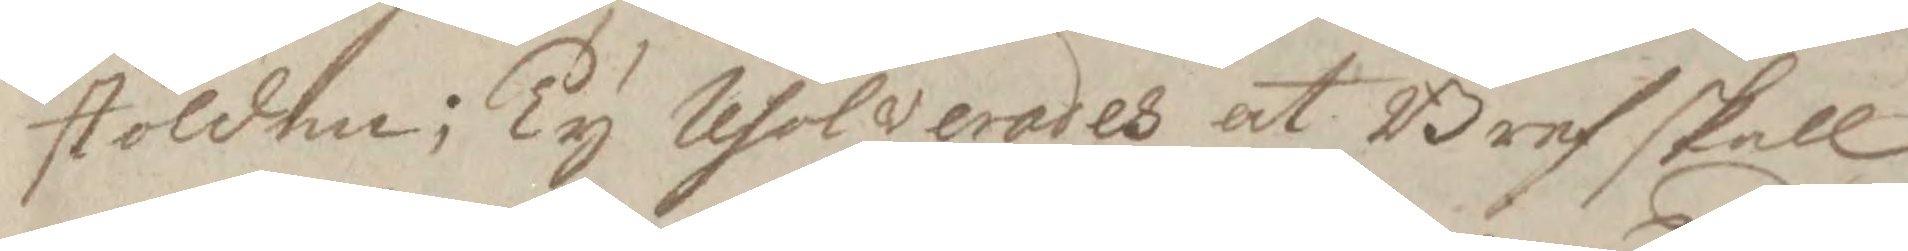stölden; Ty resolverades at bref skall
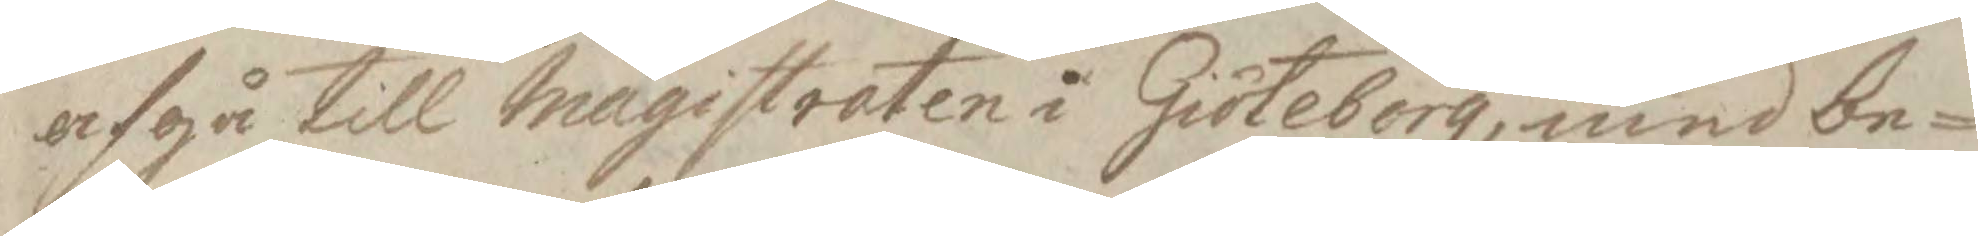afgå till magistraten i Giöteborg, med be¬
